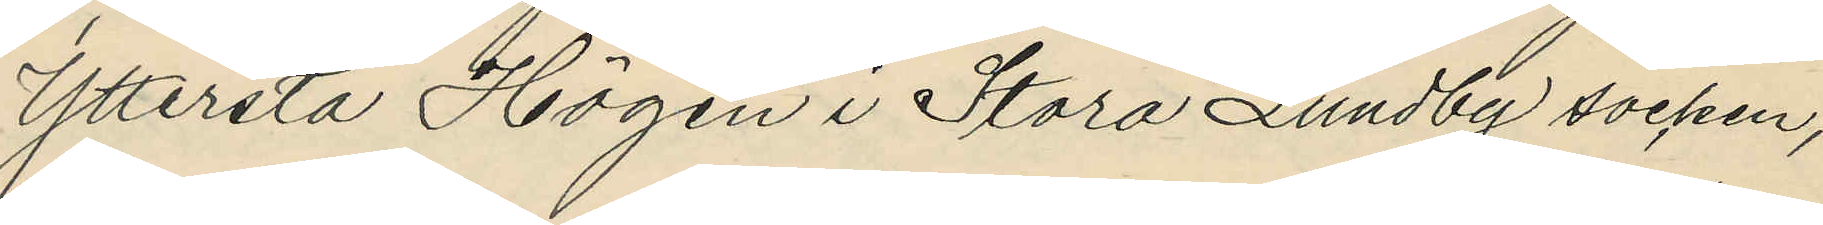Yttersta Högen i Stora Lundby socken,
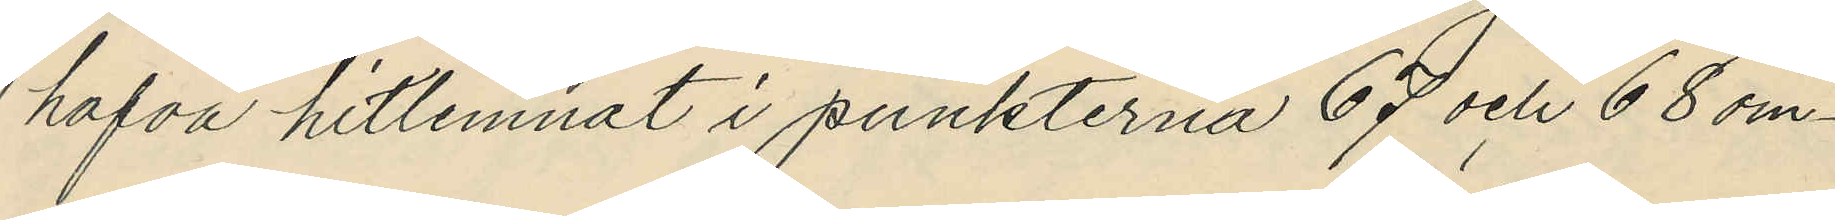hafva hitlemnat i punkterna 67 och 68 om¬
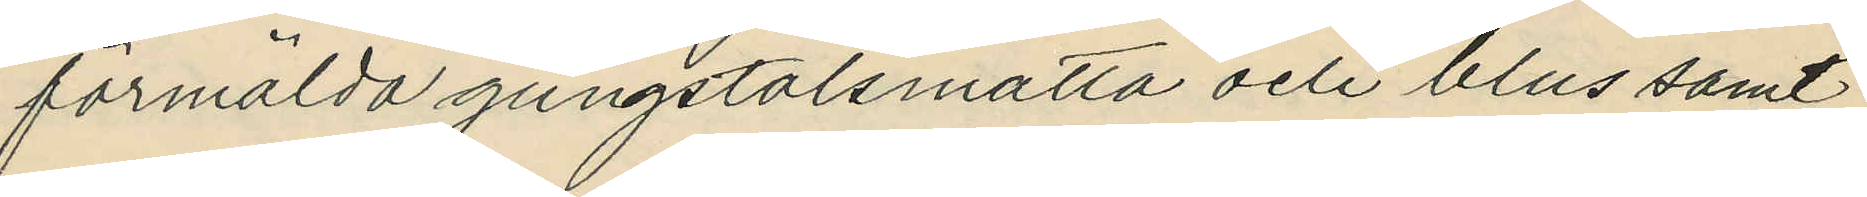förmälda gungstolsmatta och blus samt
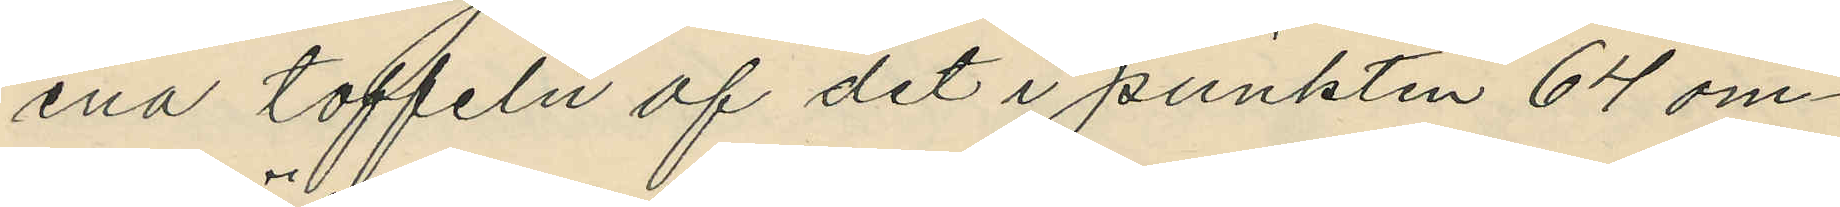ena toffeln af det i punkten 64 om¬
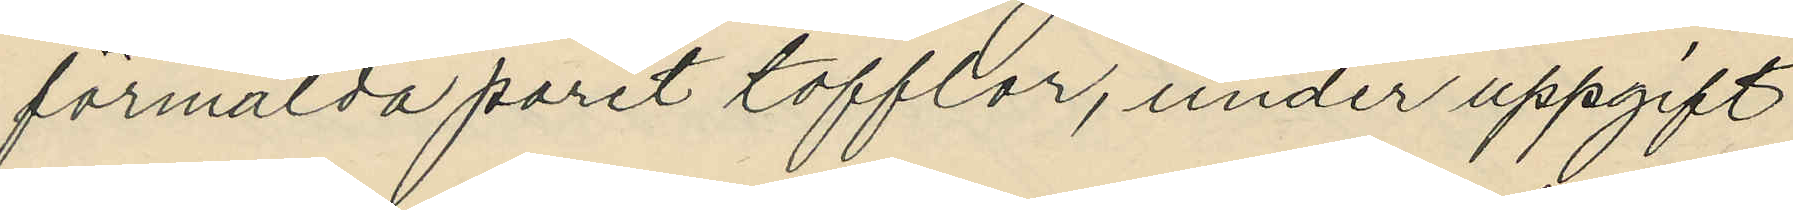förmälda paret tofflor, under uppgift
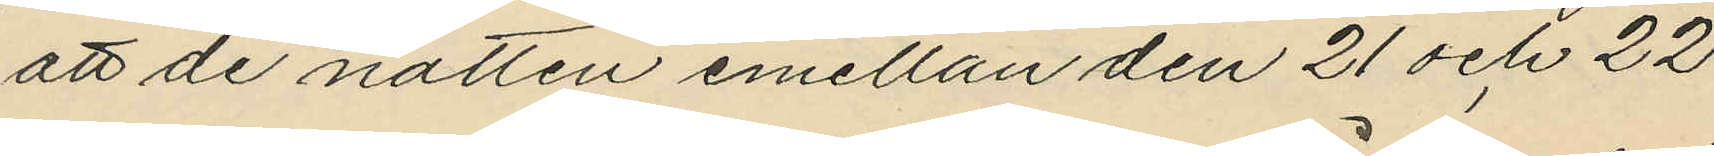att de natten emellan den 21 och 22
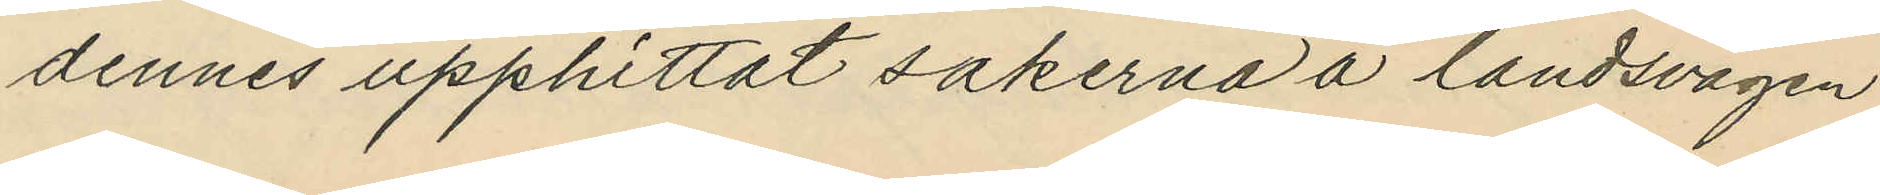dennes upphittat sakerna å landsvägen
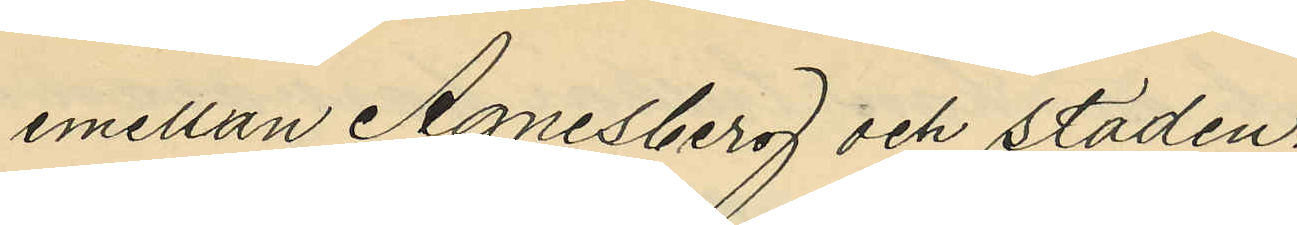emellan Agnesberg och staden.
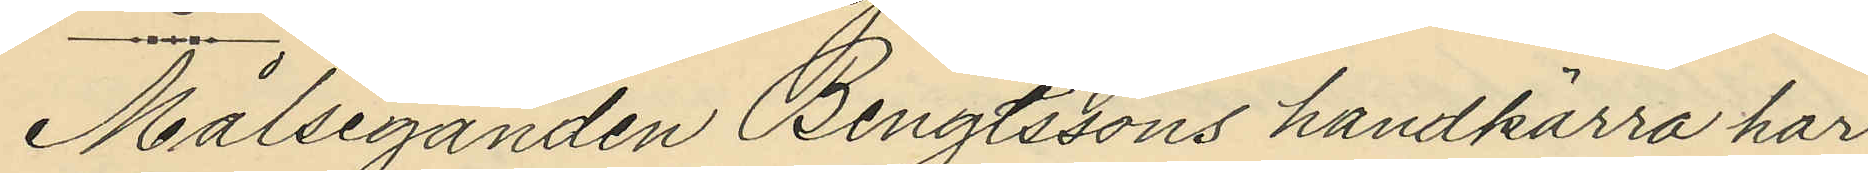Målseganden Bengtssons handkärra har
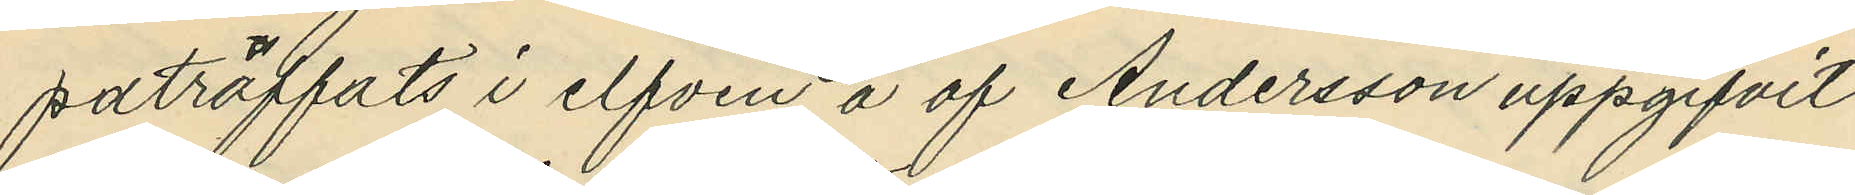påträffats i elfven å af Andersson uppgifvit
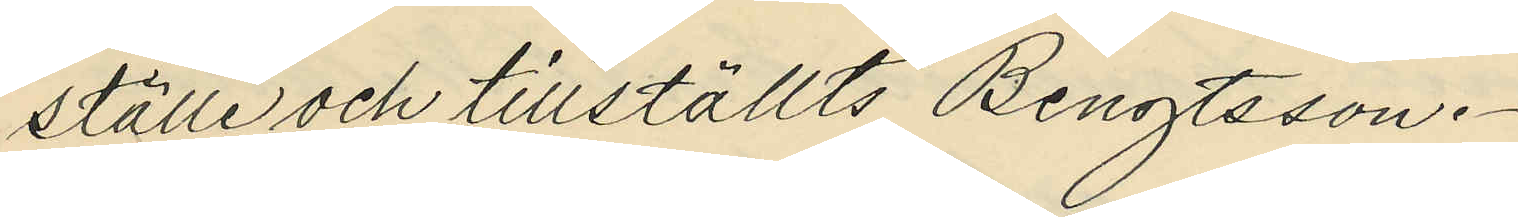ställe och tillställts Bengtsson.
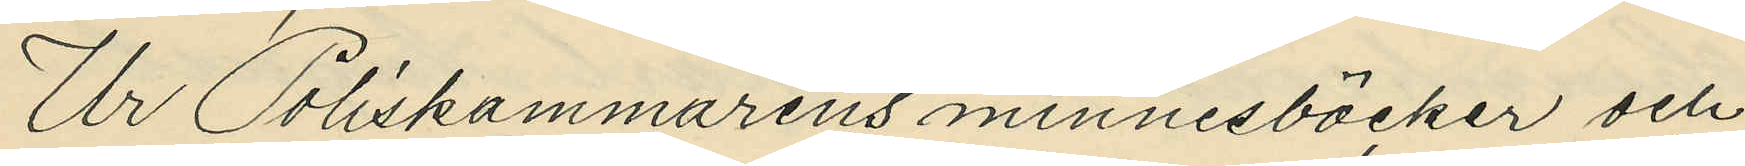Ur Poliskammarens minnesböcker och
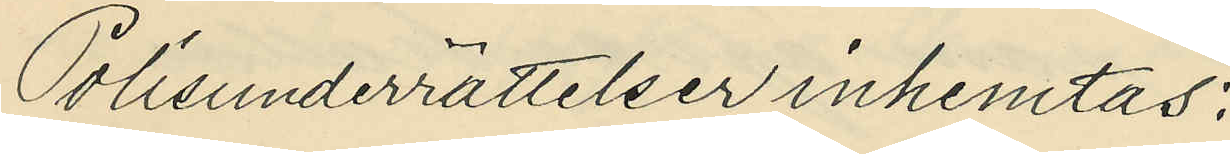Polisunderrättelser inhemtas:
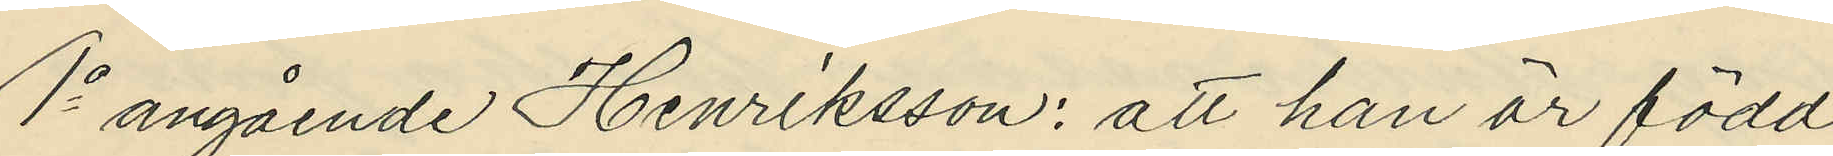1o angående Henriksson: att han är född
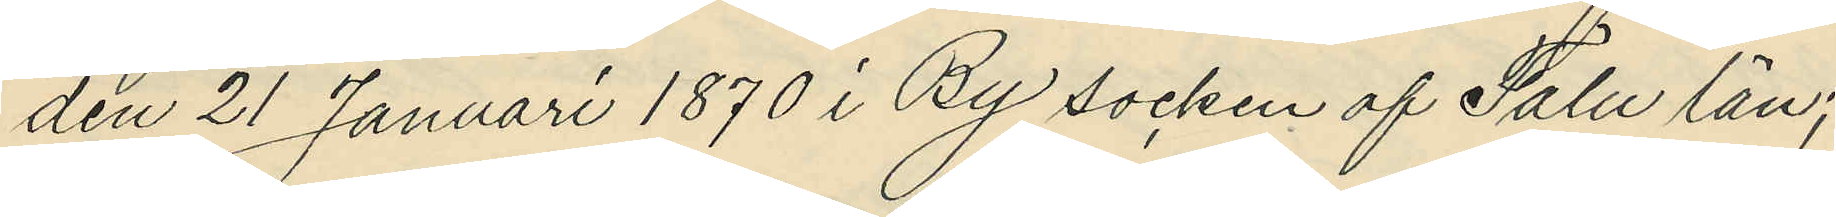den 21 Januari 1870 i By socken af Falu län;
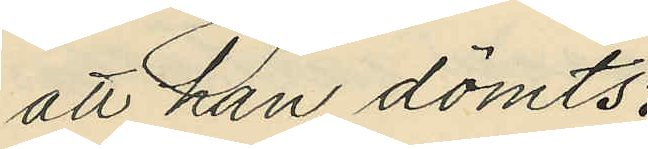att han dömts:
